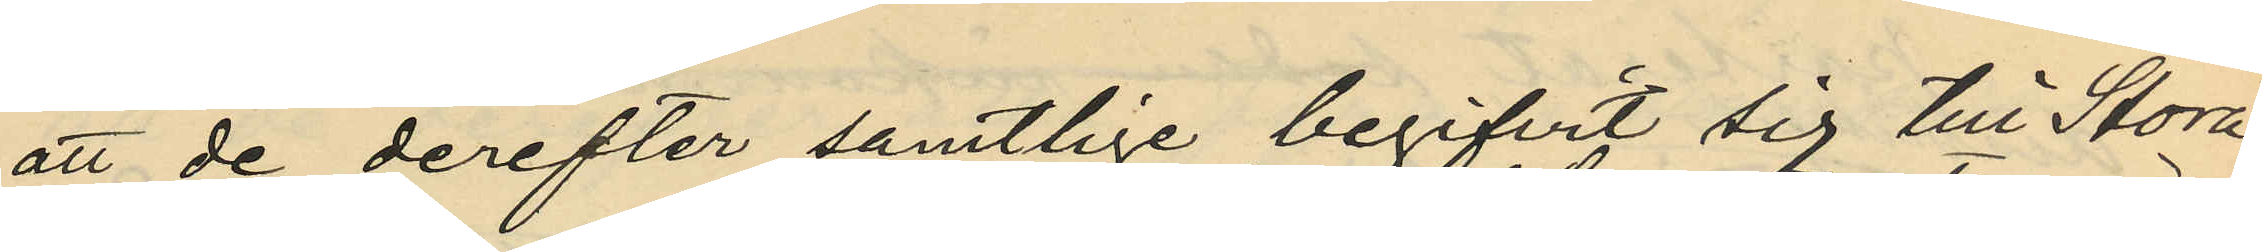att de derefter samtlige begifvit sig till Stora
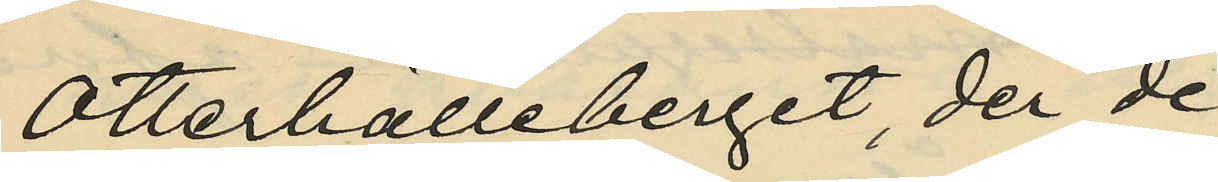Otterhälleberget, der de
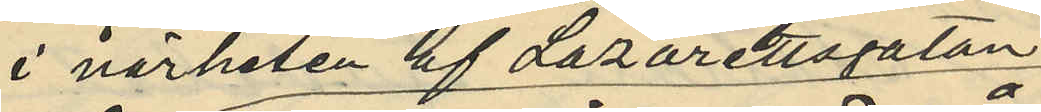i närheten af Lazarettsgatan
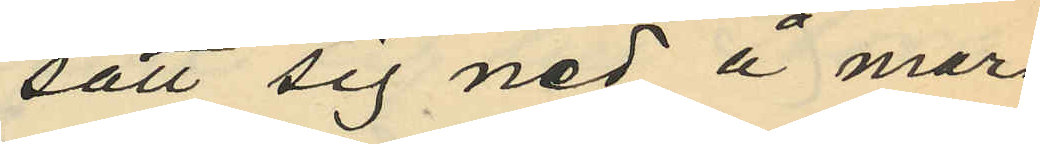satt sig ned å mar¬
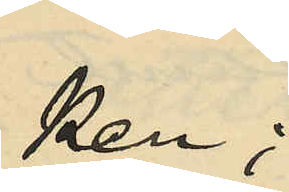ken;
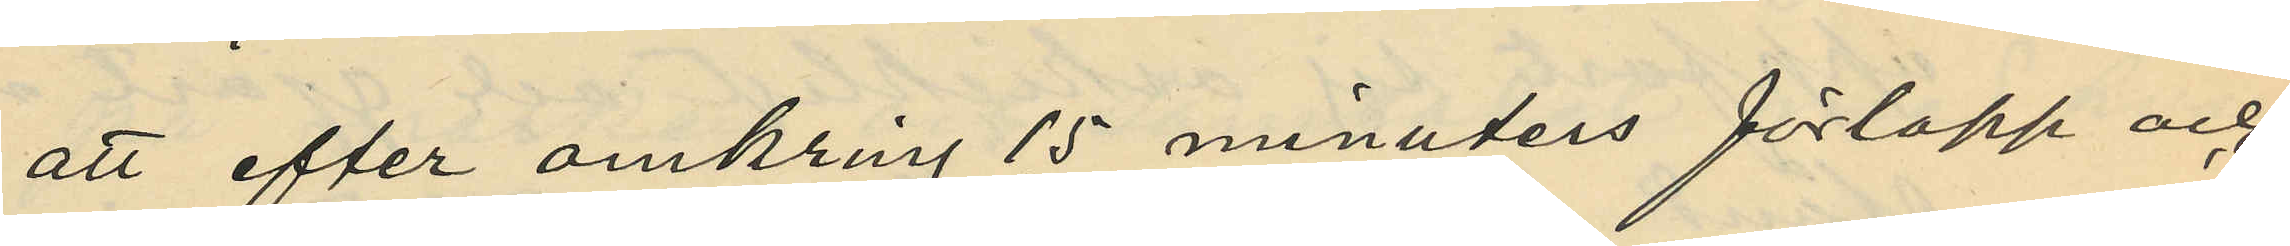att efter omkring 15 minuters förlopp och
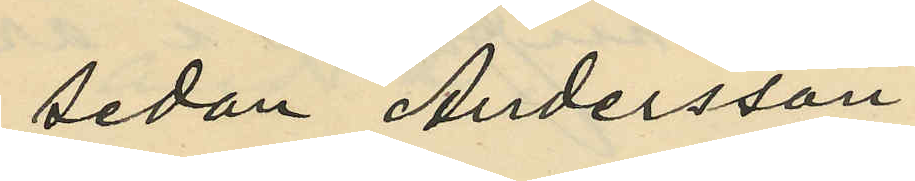sedan Andersson
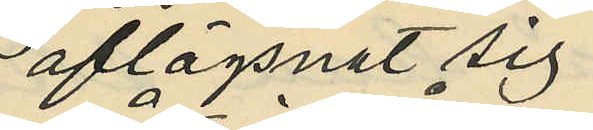aflägsnat sig
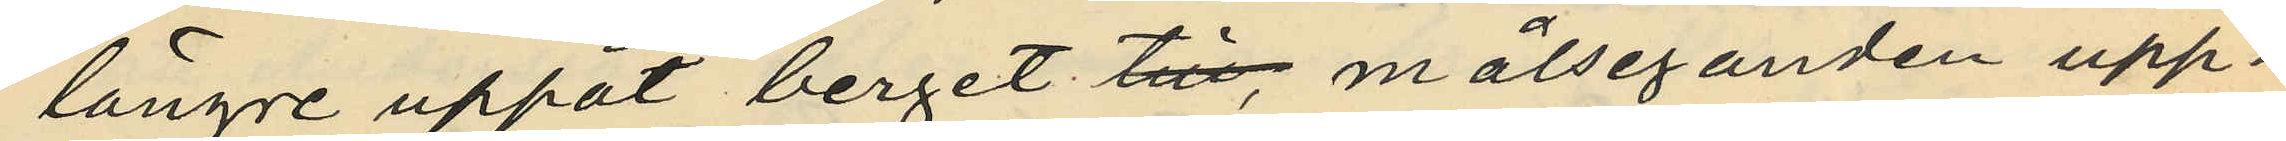längre uppåt berget, målseganden upp¬
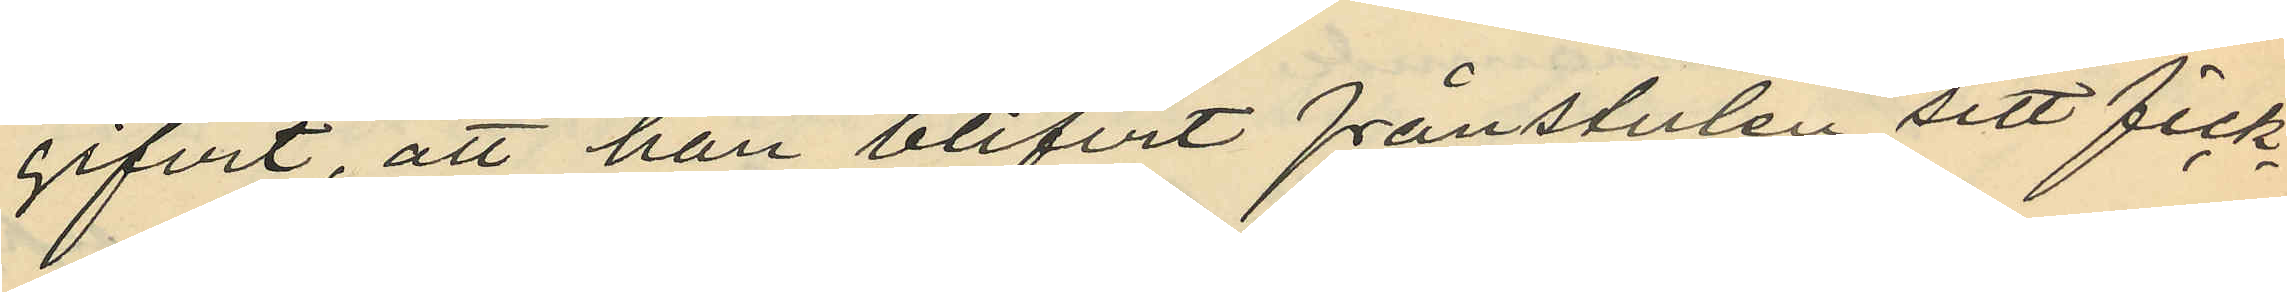gifvit, att han blifvit frånstulen sitt fick¬
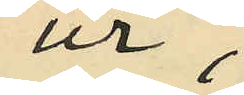ur;
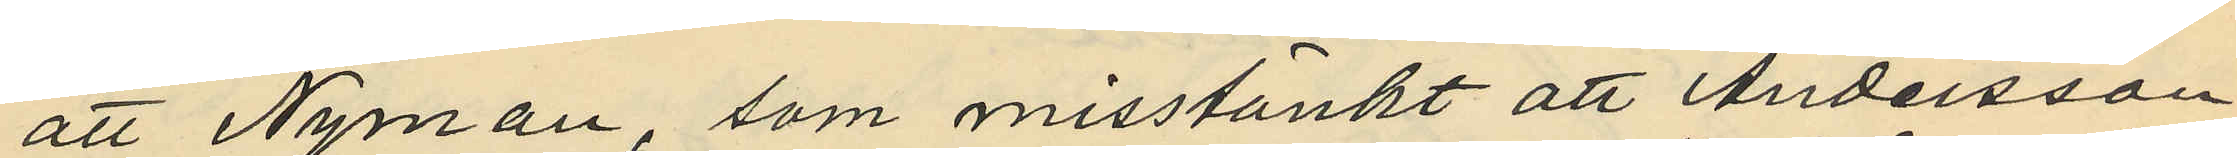att Nyman, som misstänkt att Andersson
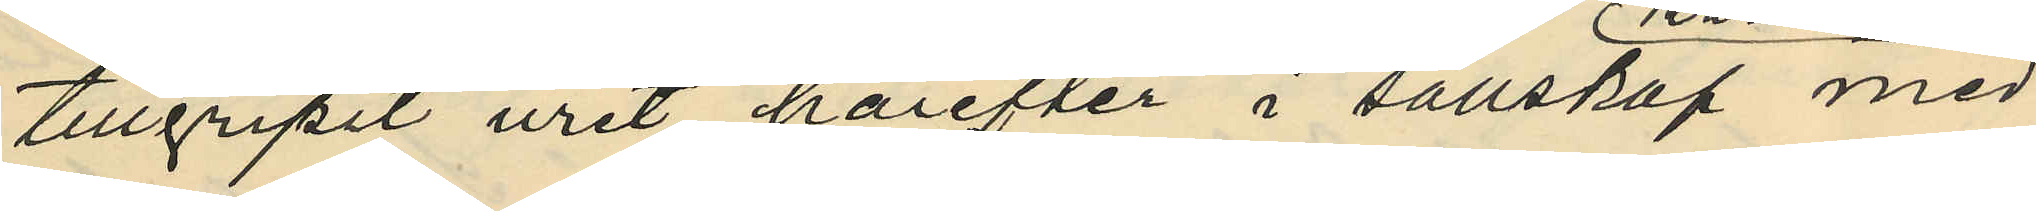tillgripit uret härefter i sällskap med
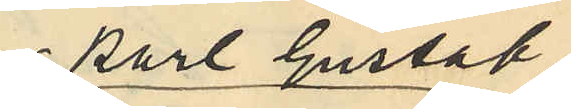Karl Gustav
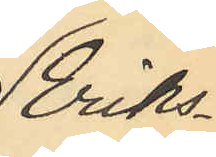Eriks¬
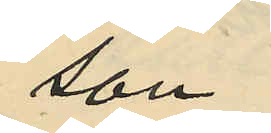son
